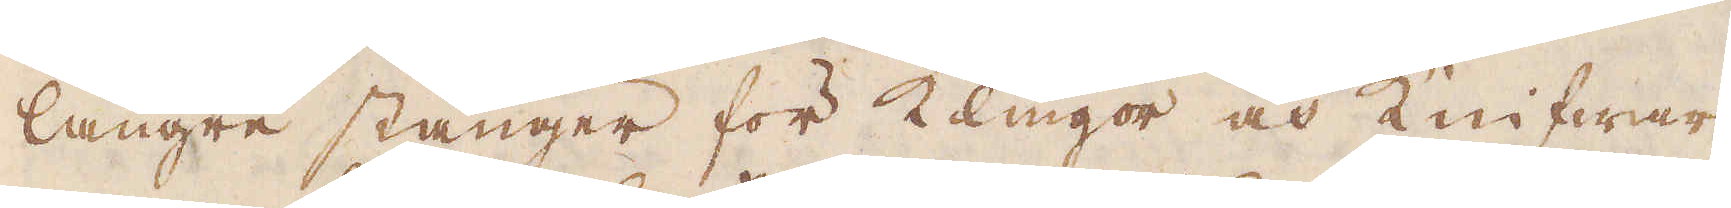längre stänger för Klingor och Knifwar,
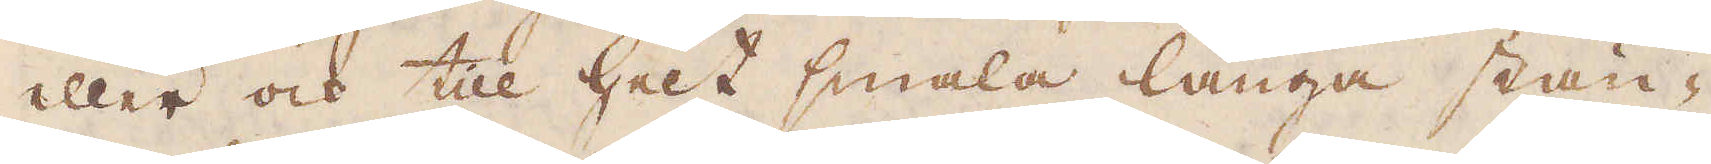eller och till helt smala långa stän-
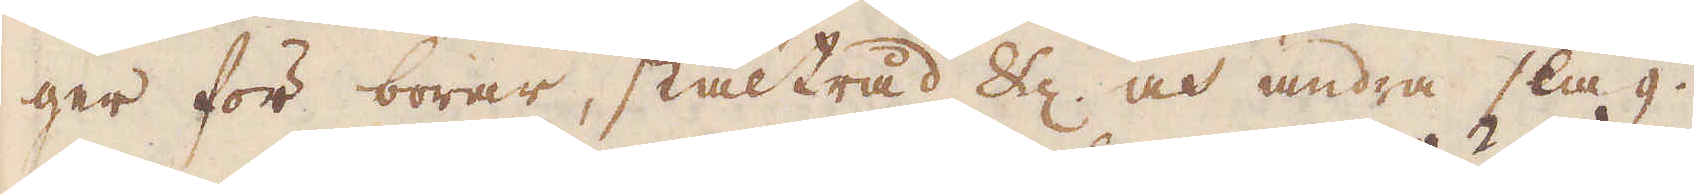ger för borar, ståltråd &c, och andra slag.
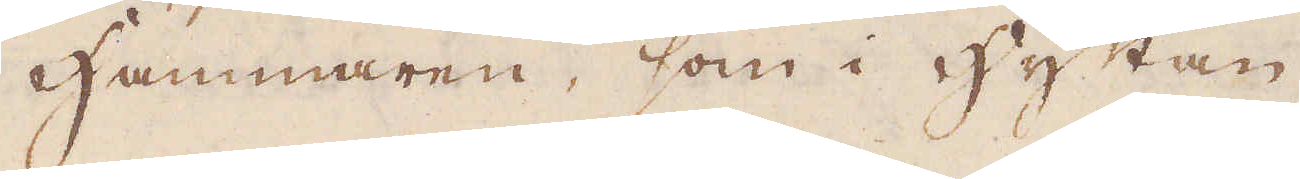Hammaren, som i hyttan
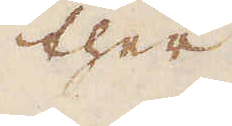ther
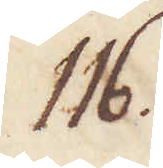116.
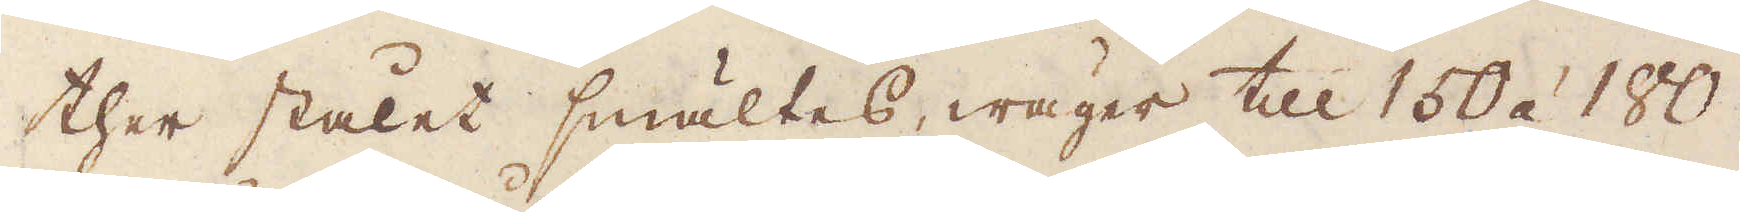ther stålet smältes, wäger till 150 á 180
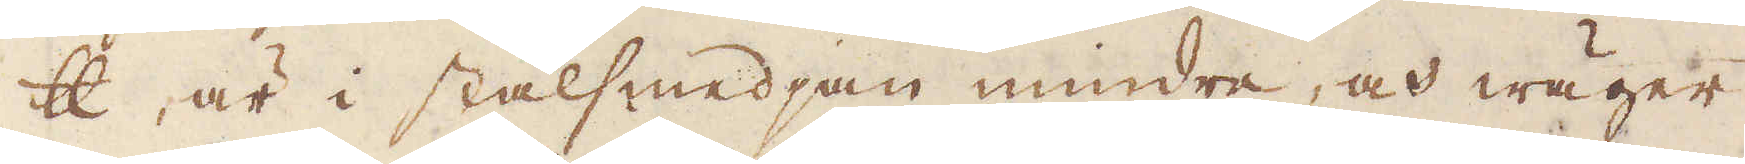skålpund, är i stålsmedjan mindre, och wäger
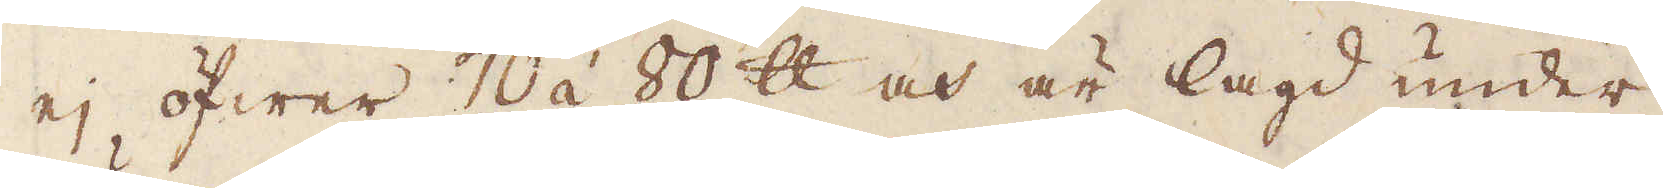ej öfwer 70 á 80 skålpund och är lagd under
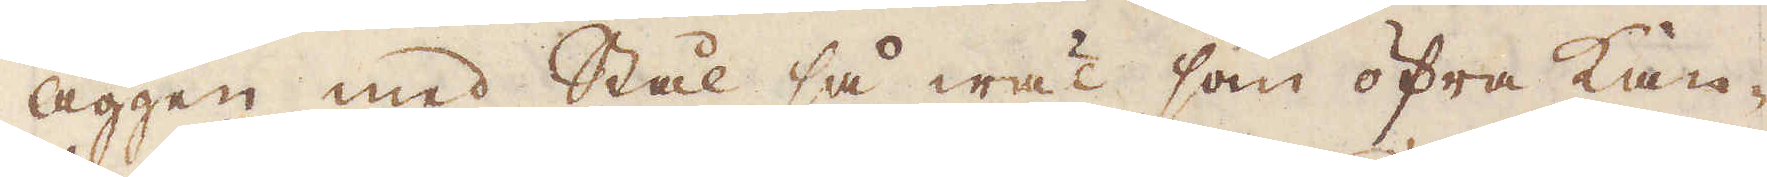äggen med Stål så wäl som öfra kan-
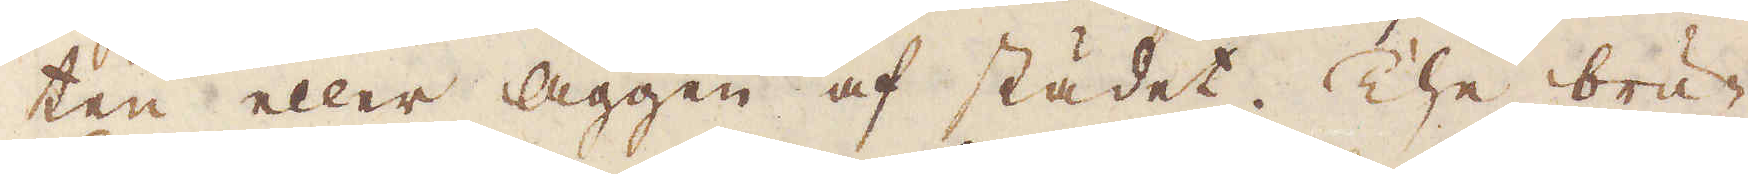ten eller äggen af städet. The bru-
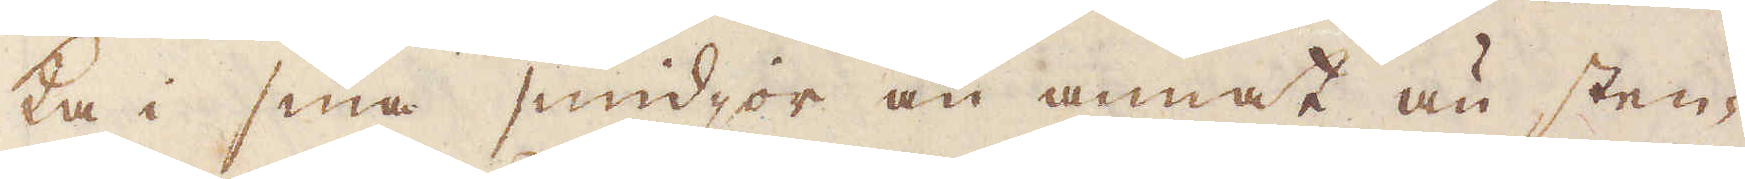ka i sina smidjor än annat än sten-
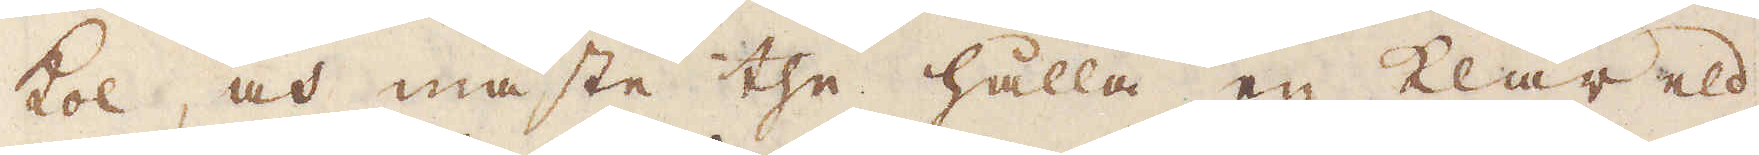kol, och måste the hålla en klar eld
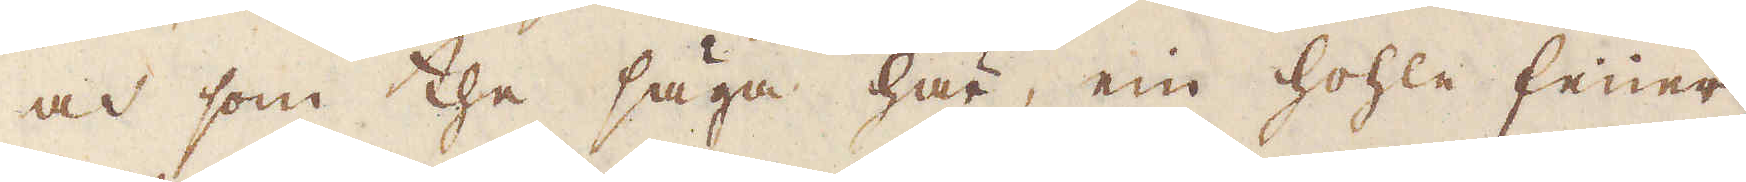och som the säga här, ein hohle feuer,
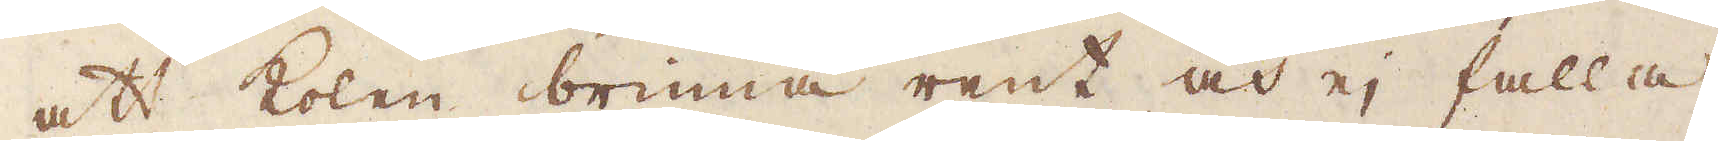att kolen brinna rent och ej falla
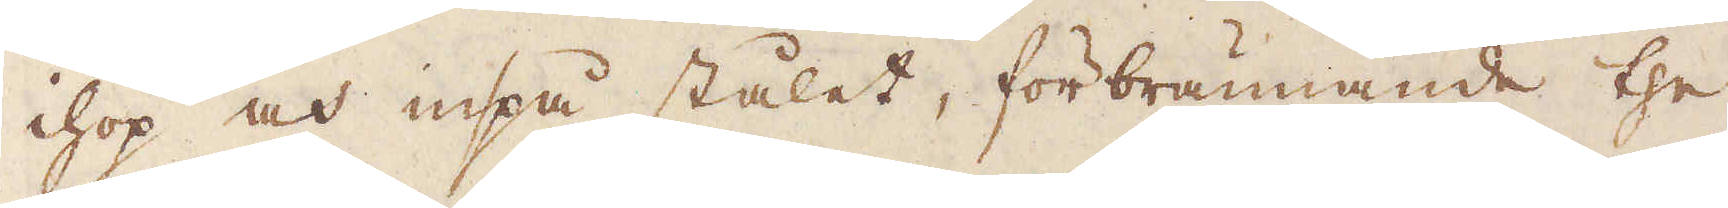ihop och inpå stålet, förbrännande the
